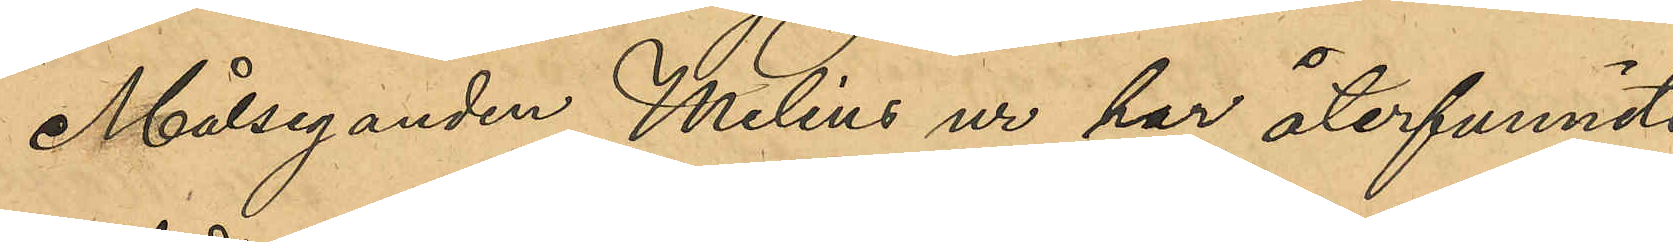Målseganden Melins ur har återfunnits
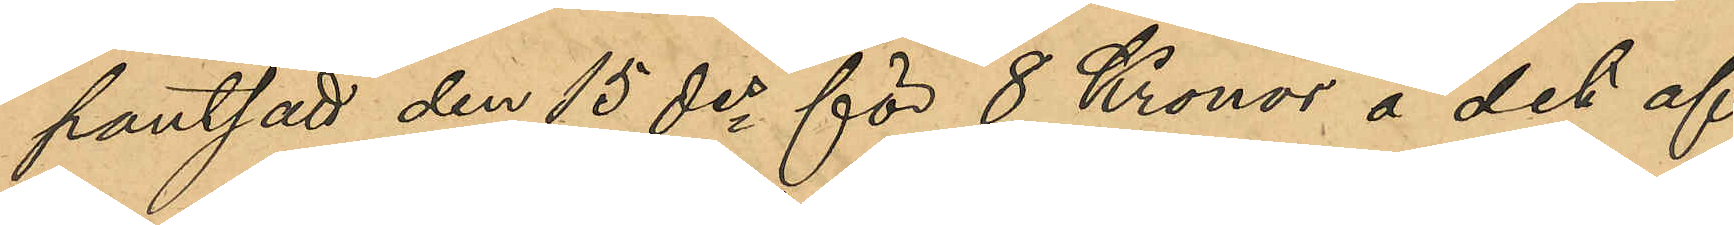pantsatt den 15 des för 8 Kronor å det af
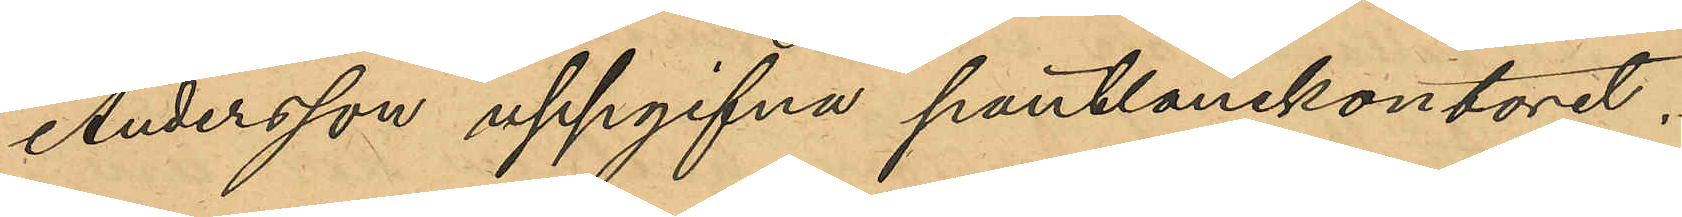Andersson uppgifna pantlånekontoret.
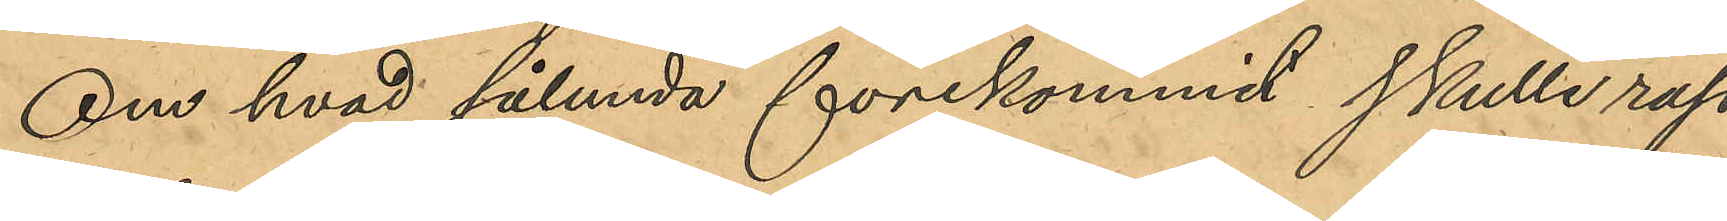Om hvad sålunda förekommit skulle rap¬
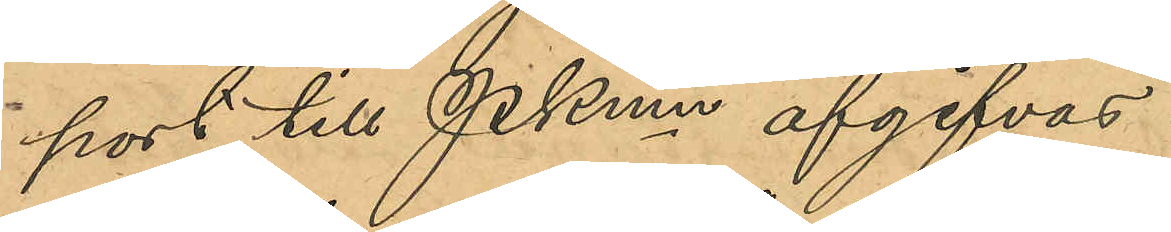port till Pkmn afgifvas.
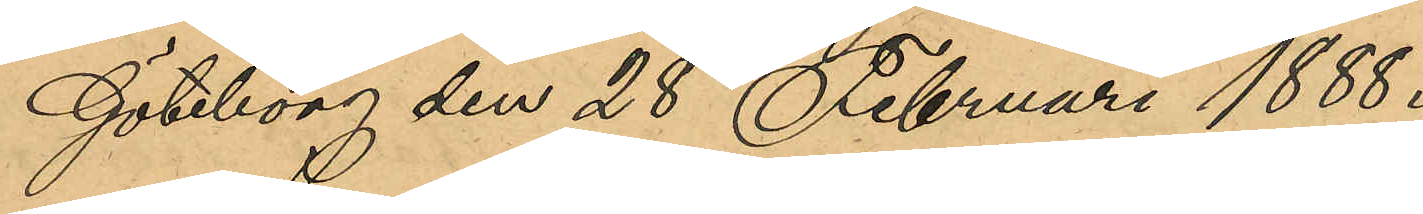Göteborg den 28 Februari 1888.
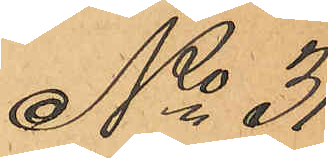No 31
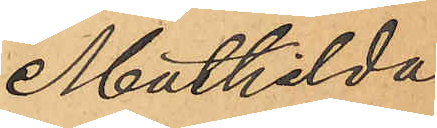Mathilda
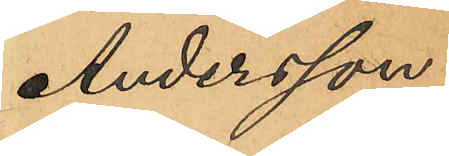Andersson.
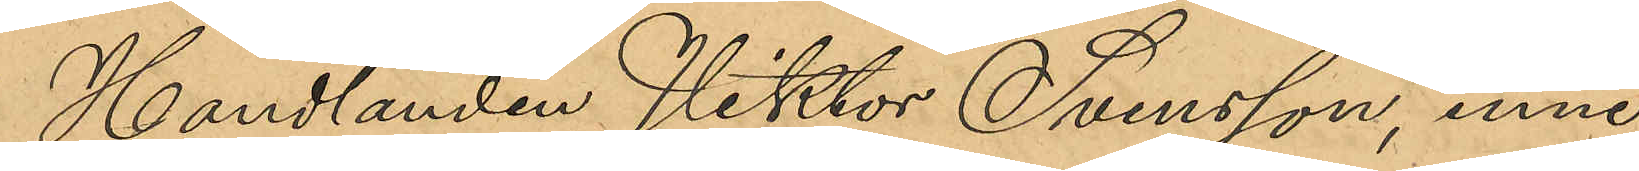Handlanden Viktor Svensson, inne¬
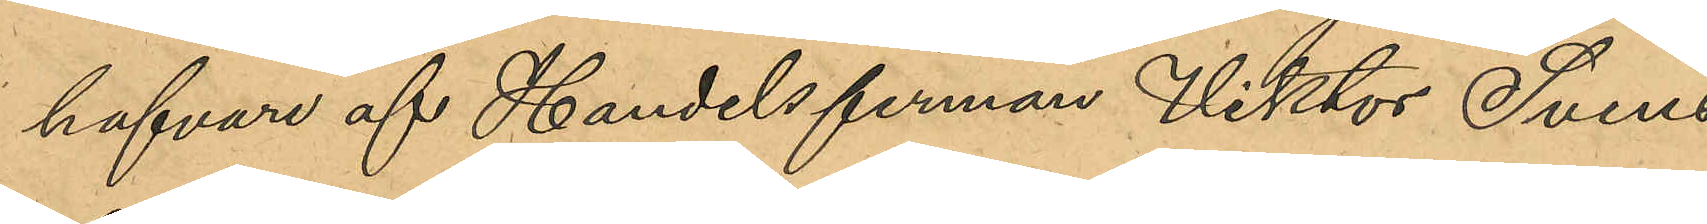hafvare af Handelsfirman Viktor Svens¬
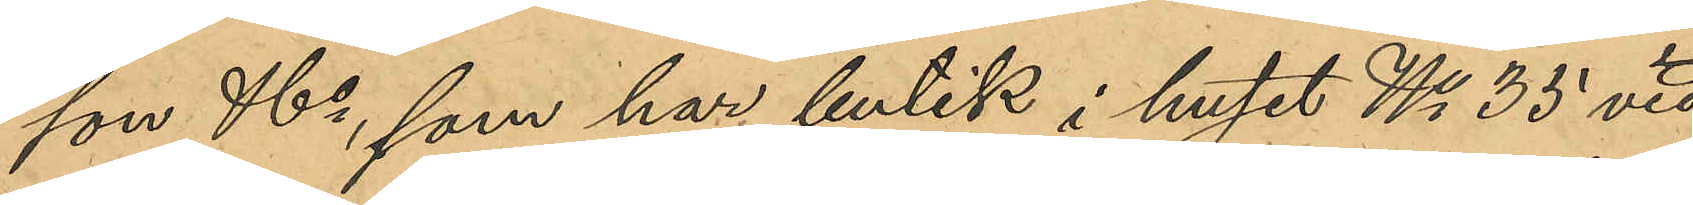son & Co, som har butik i huset No 35 vid
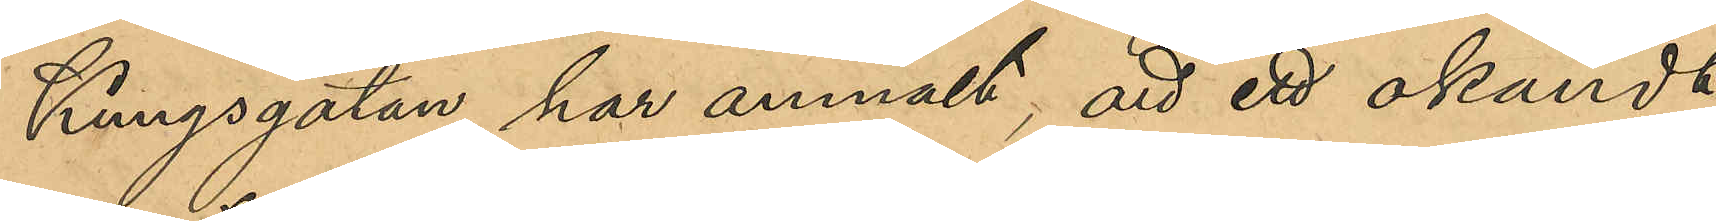Kungsgatan, har anmält, att ett okändt
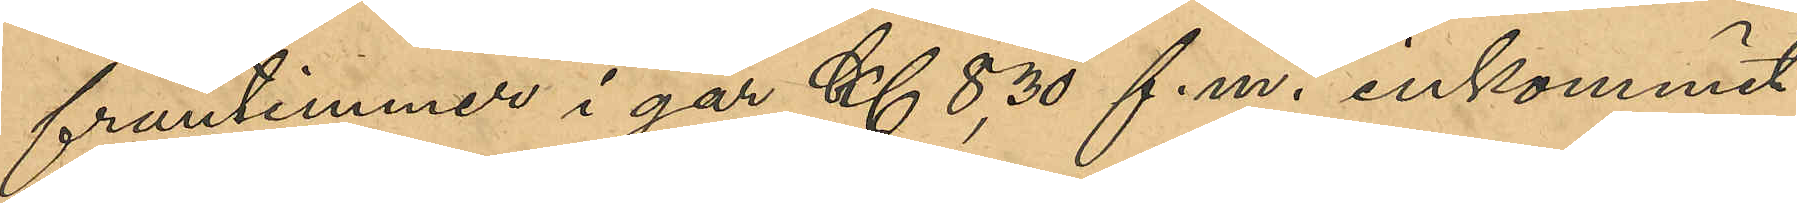fruntimmer i går Kl 8,30 f.m. inkommit
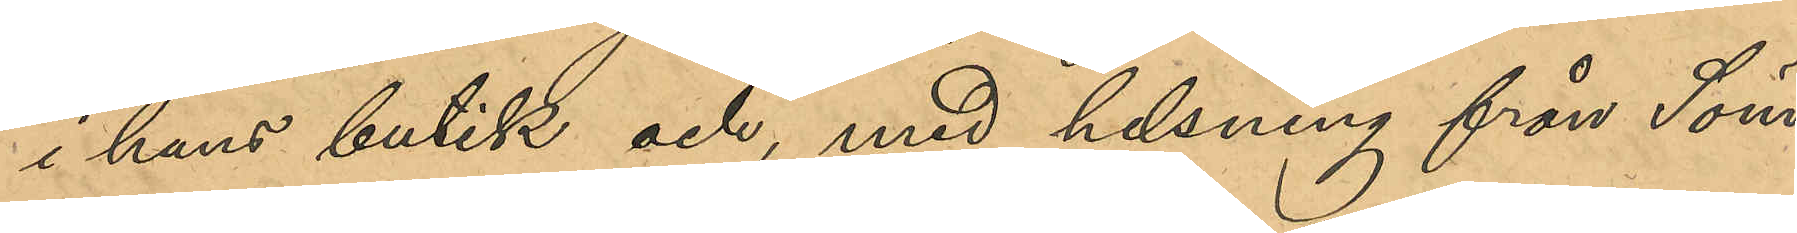i hans butik, och med helsning från Söm¬
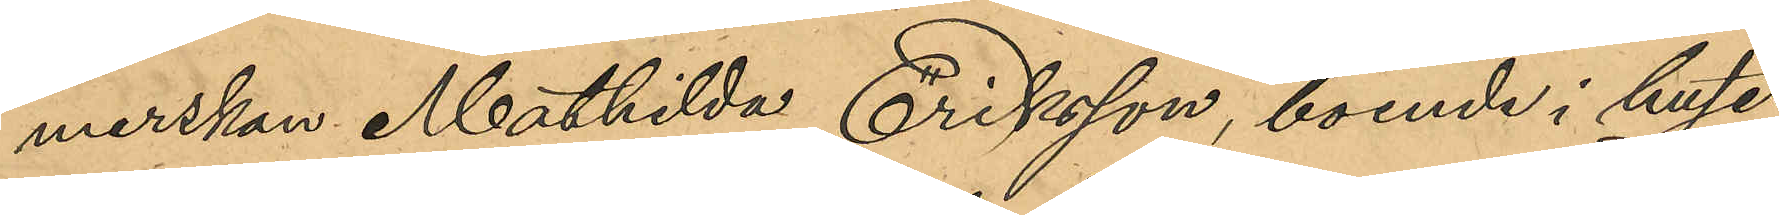merskan Mathilda Eriksson, boende i huset
